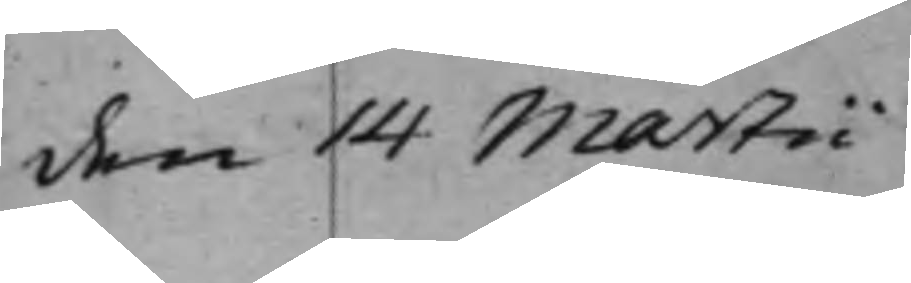den 14 Martii
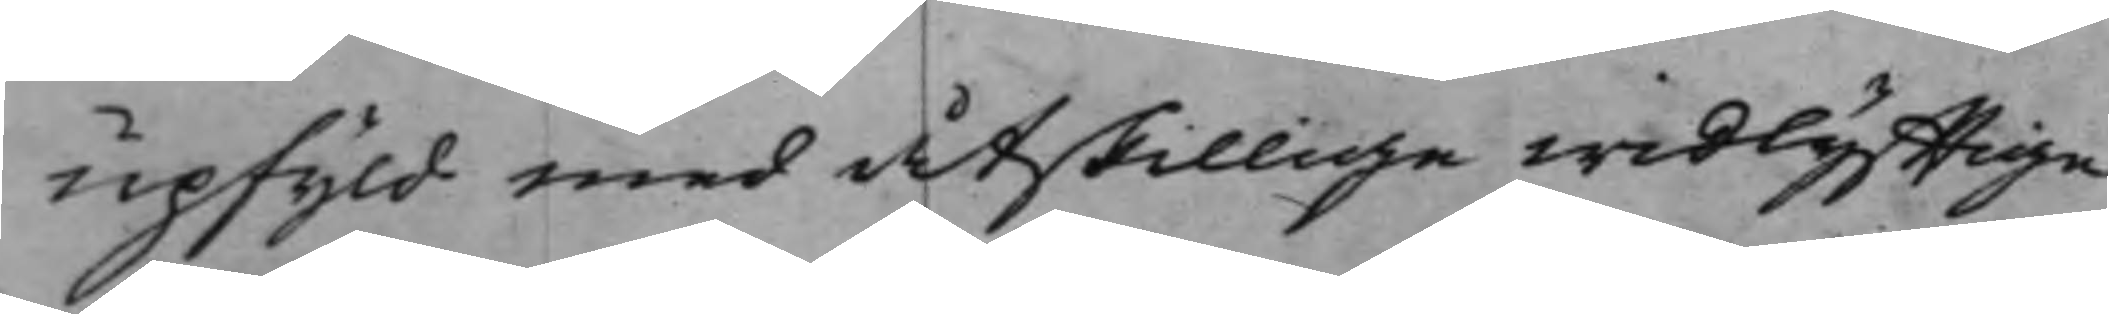upfyld med åtskillige widlyfftige
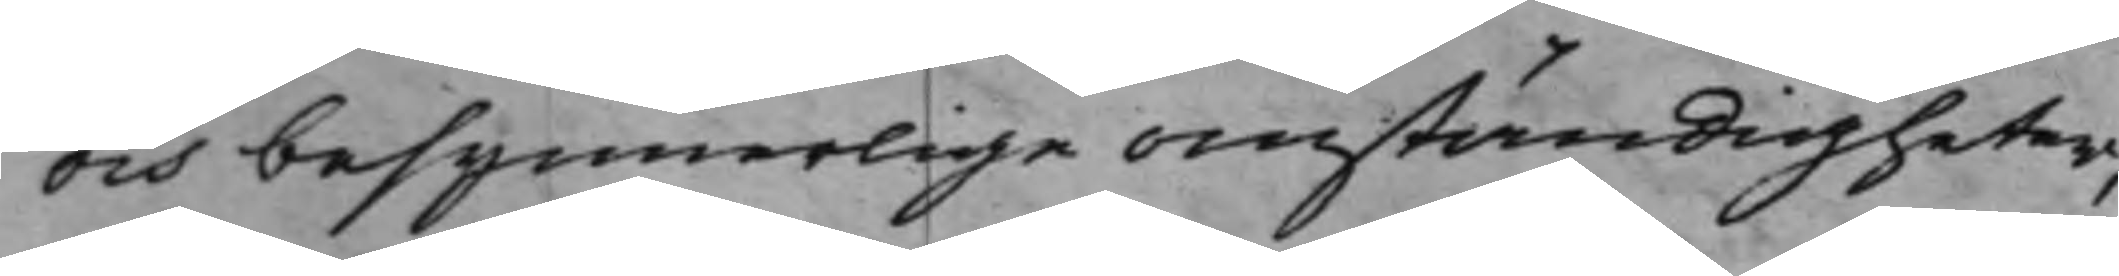och besynnerlige omständigheter,
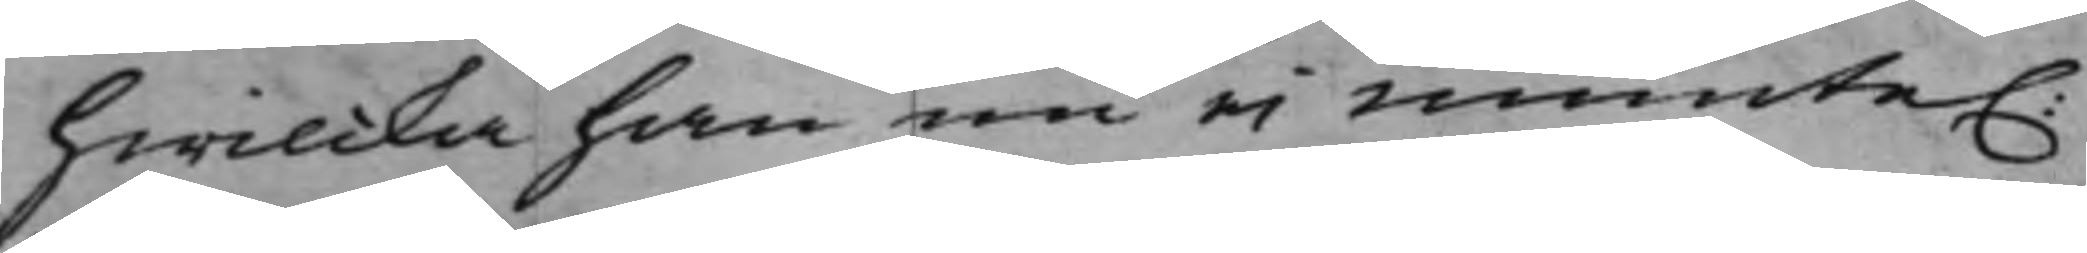hwilcka han nu ei munte.
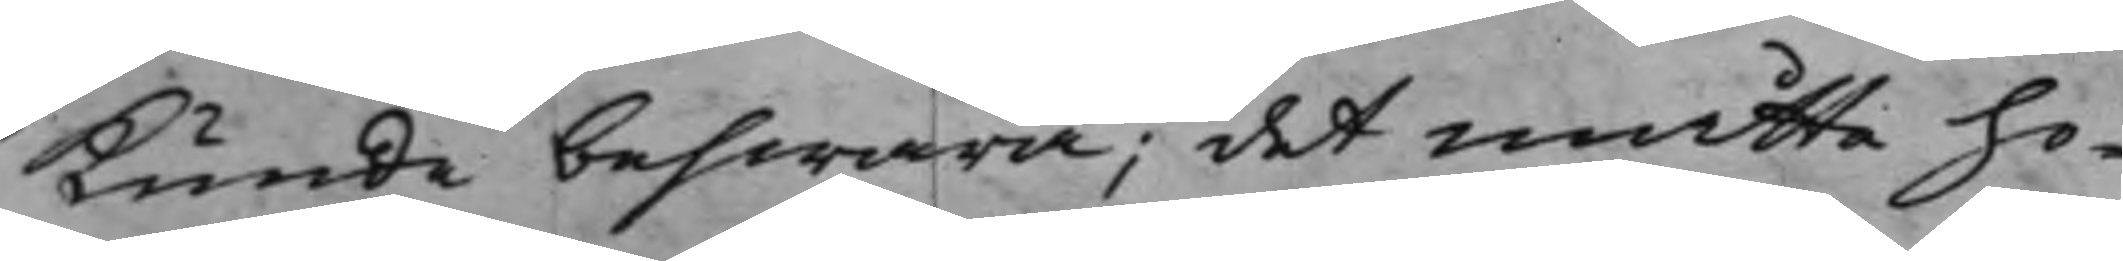Kunde beswara; det måtte ho¬
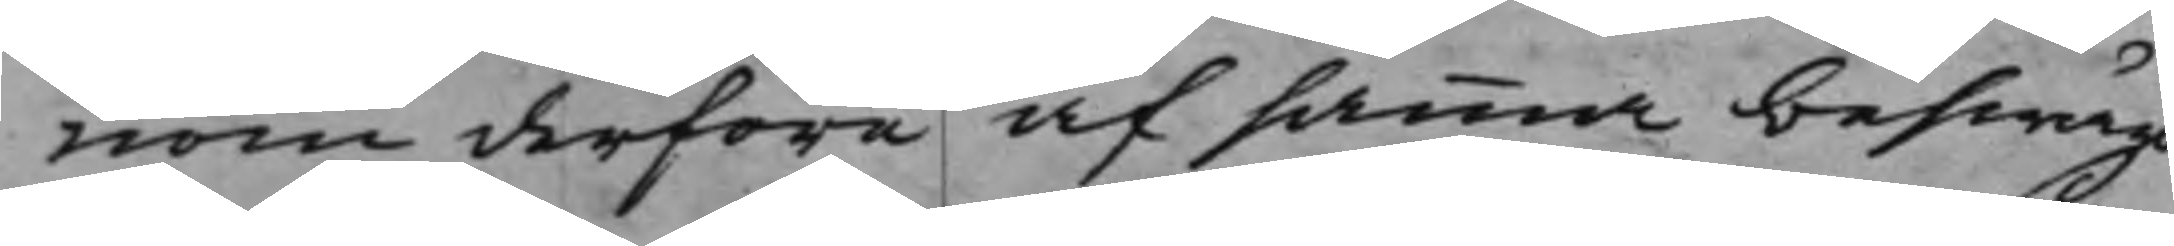nom derföre af samma beswär
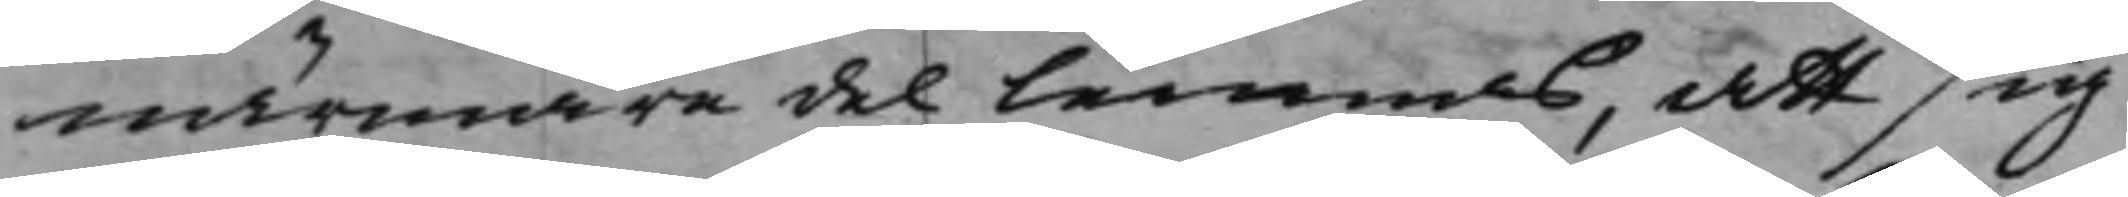närmare del lemnas, att sig
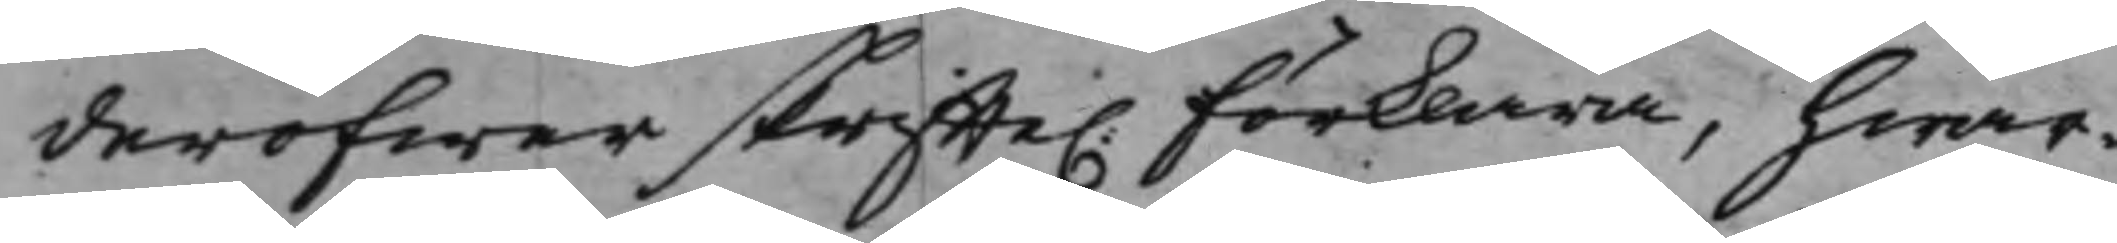deröfwer skriffte. förklara, hwar¬
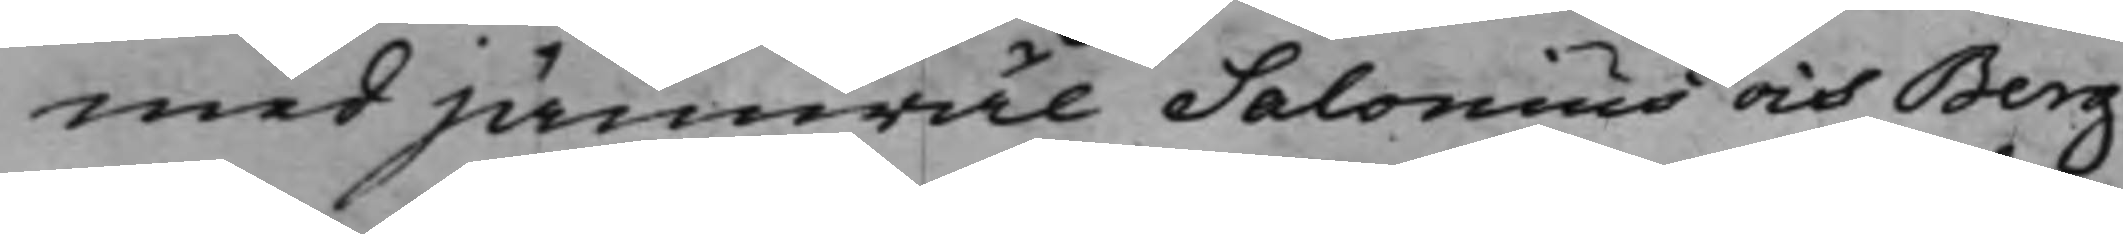med jämwäl Salonius och Berg¬
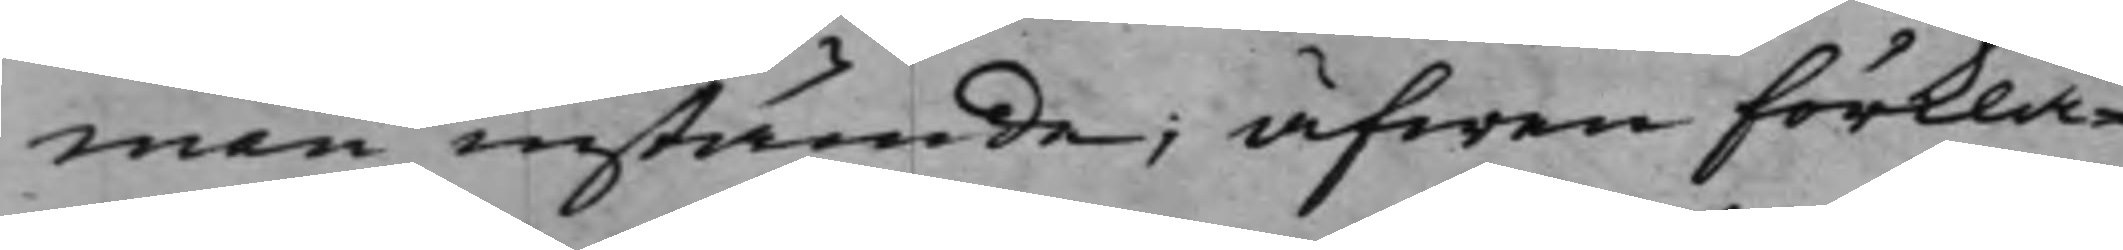man instämde; äfwen förkla¬
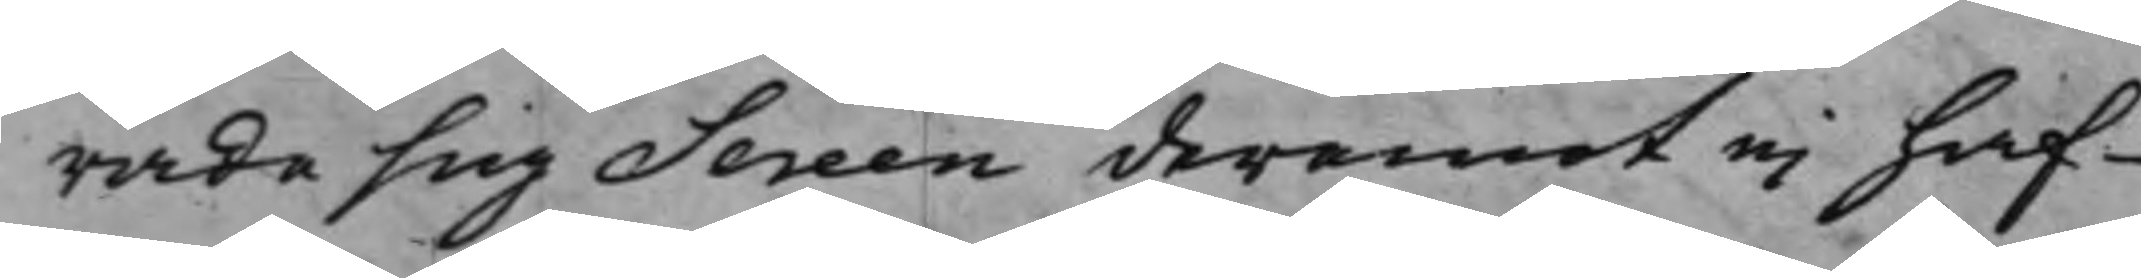rade sig Sereen deremot ei haf¬
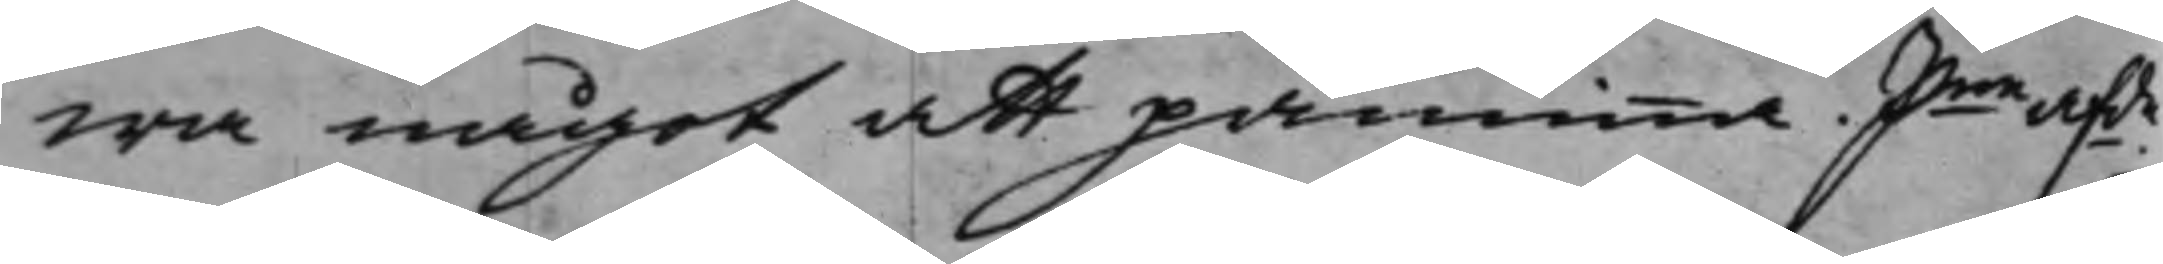wa något att påminna. Pne afde.
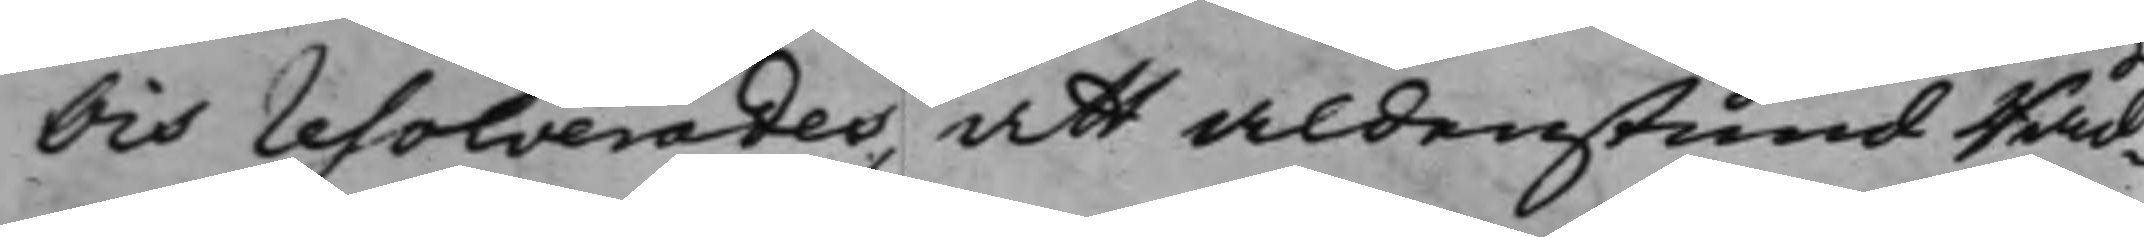Och resolverades, att aldenstund Råd¬
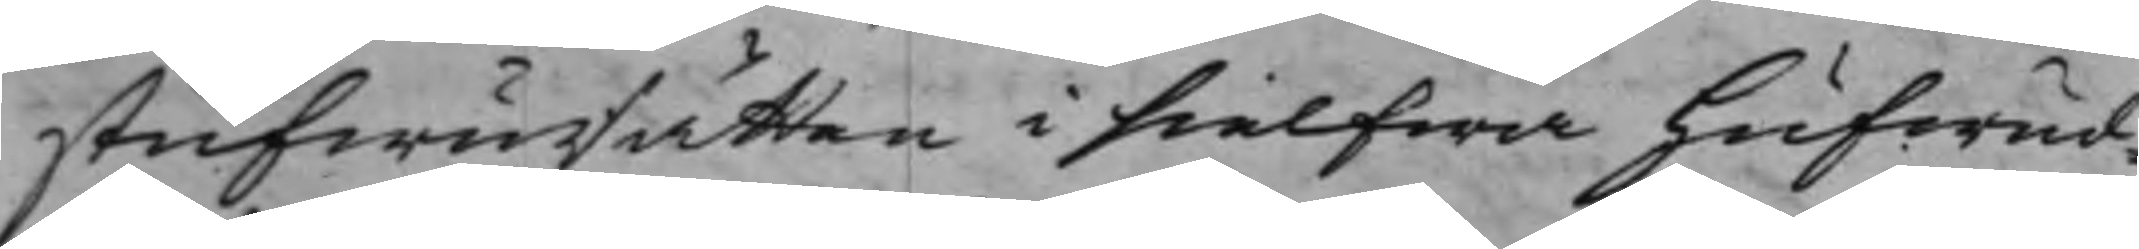stufwuRätten i sielfwa hufwud¬
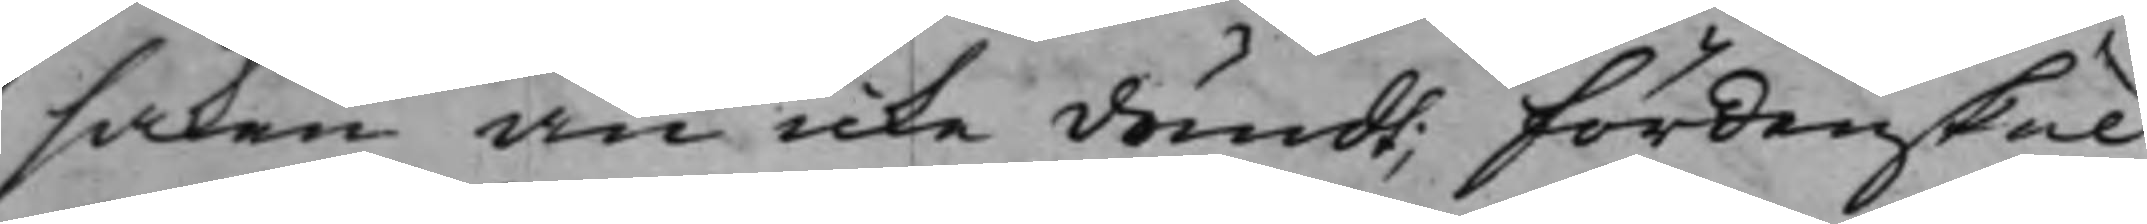saken än icke dömdt; Fördenskul
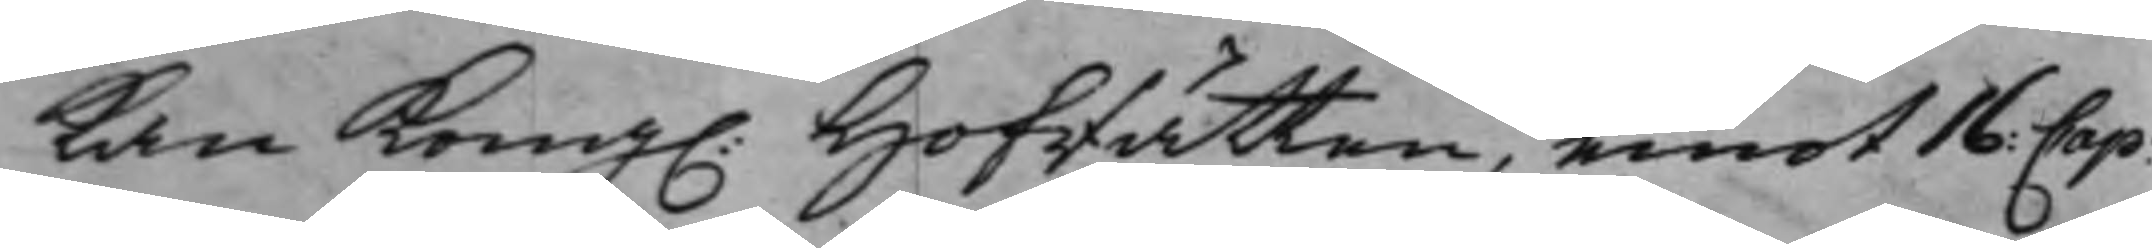kan Kong. Hofrätten, emot 16: Cap:
